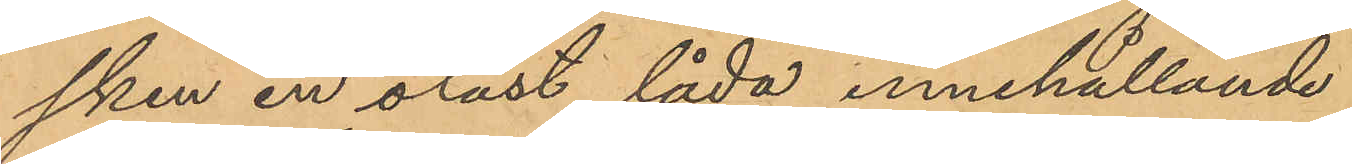sken en olåst låda innehållande
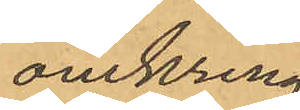omkring
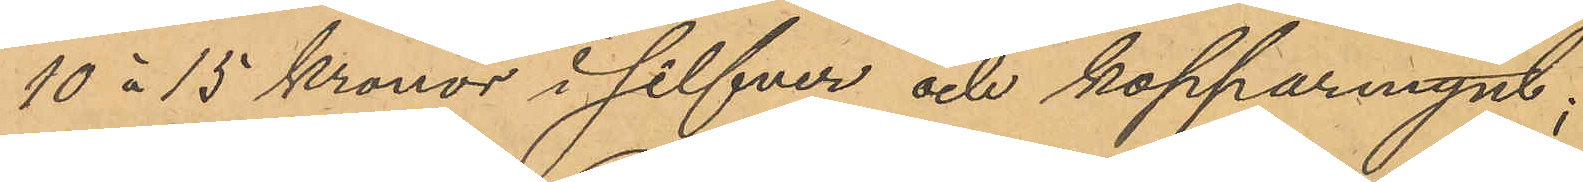10 à 15 kronor i silfver och kopparmynt;
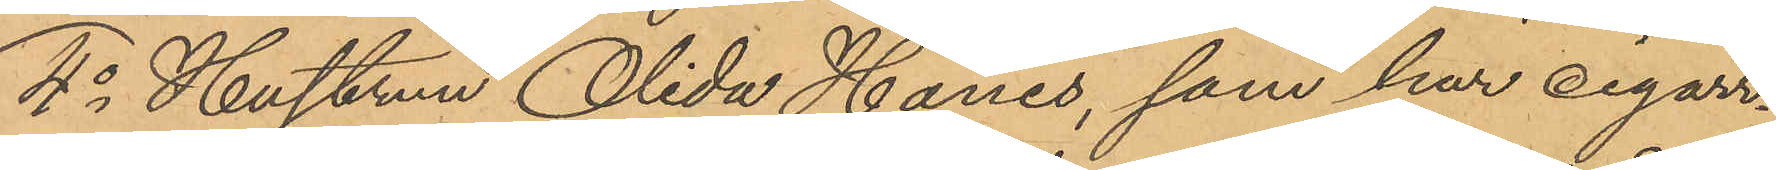4o Hustrun Olida Hanes, som har cigarr¬
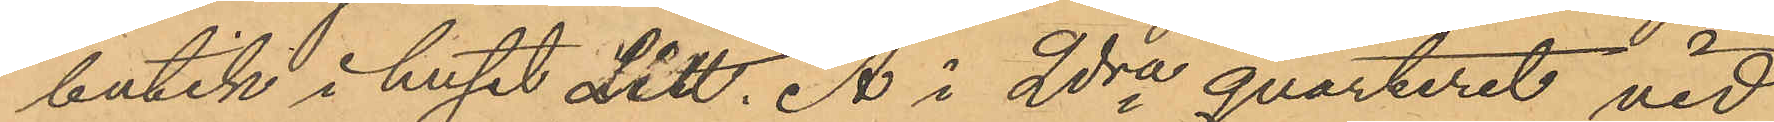butik i huset Litt. A i 2dra qvarteret vid
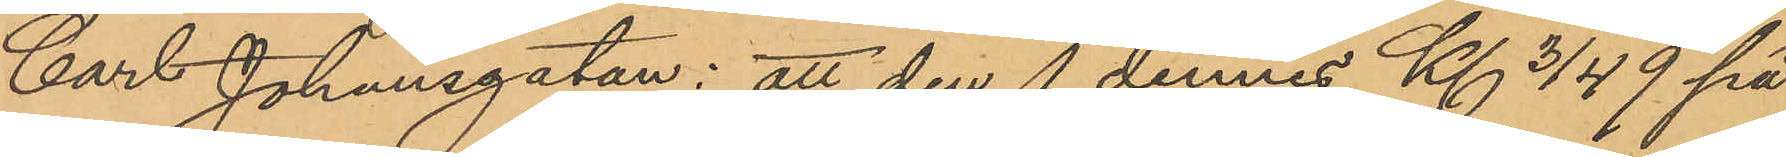Carl Johansgatan: att den 1 dennes Kl 3/4 9 på
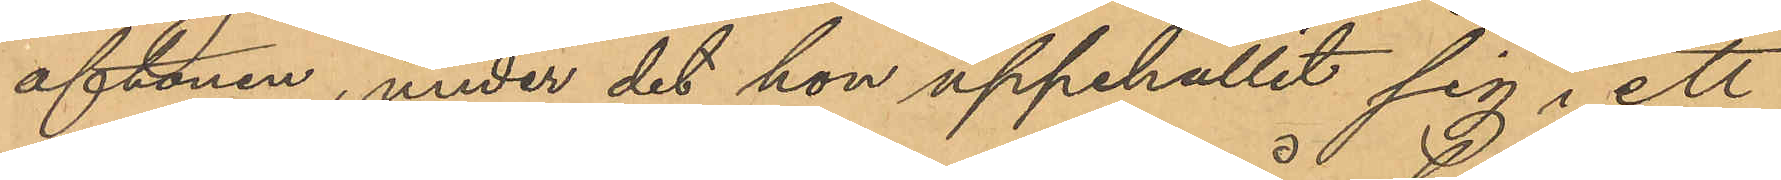aftonen, under det hon uppehållit sig i ett
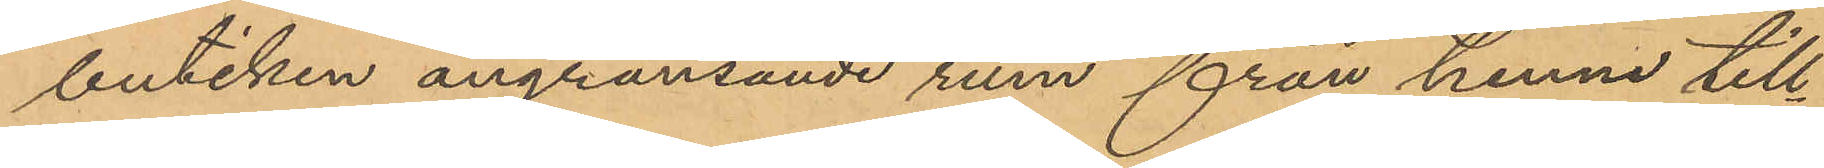butiken angränsande rum från henne till¬
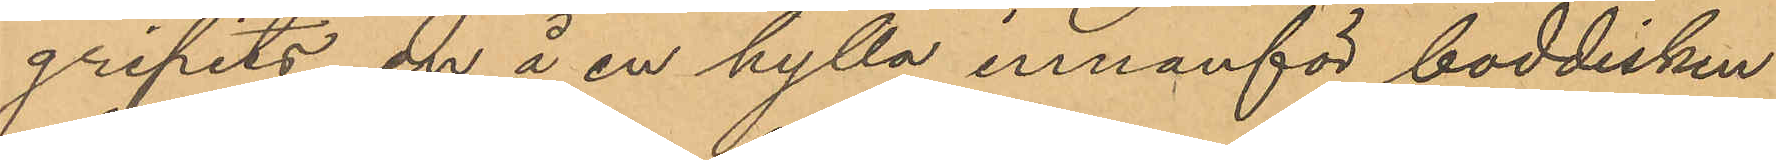gripits en å en hylla innanför boddisken
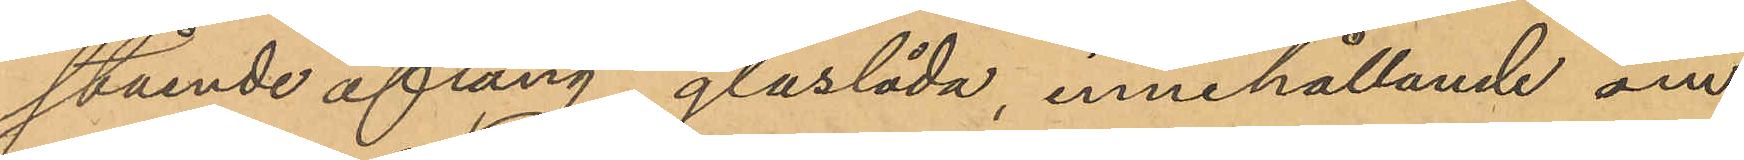stående aflång glaslåda, innehållande om¬
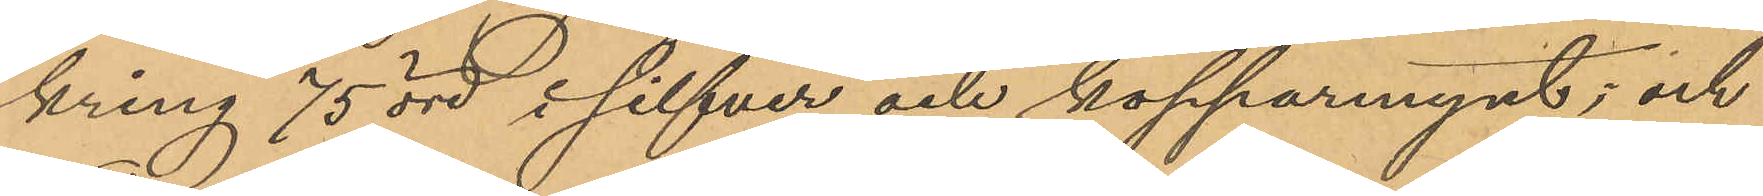kring 75 öre i silfver och kopparmynt; och
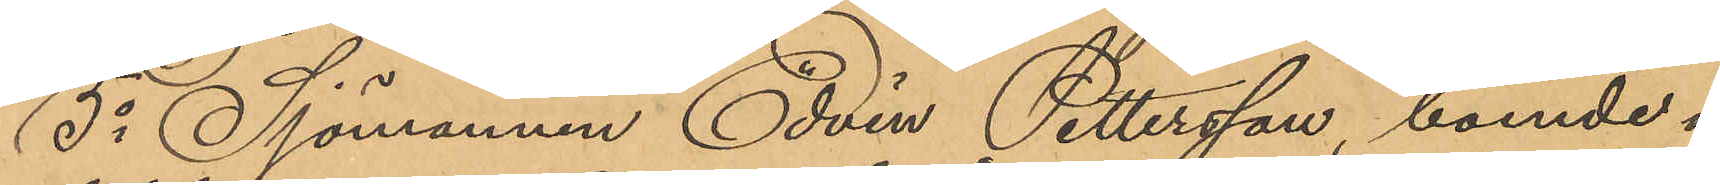5o Sjömannen Edvin Pettersson, boende i
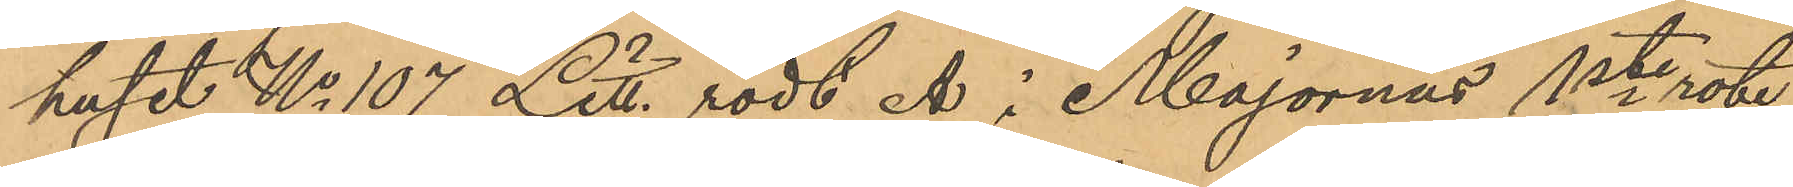huset No 107 Litt. rödt Å i Majornas 1ste rote,
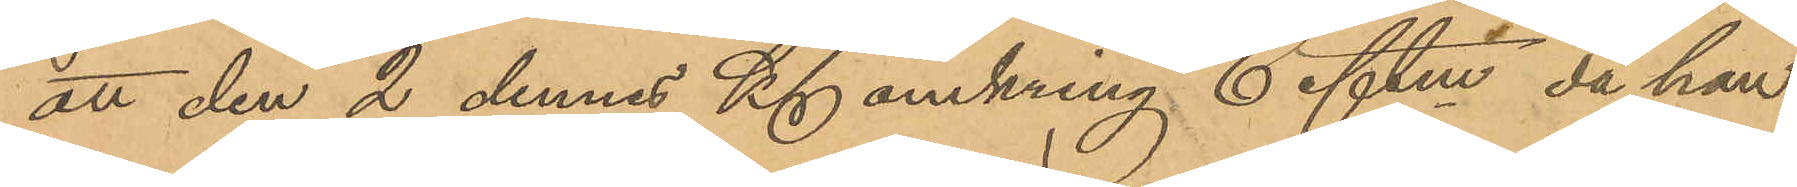att den 2 dennes Kl omkring 6 eftm, då han
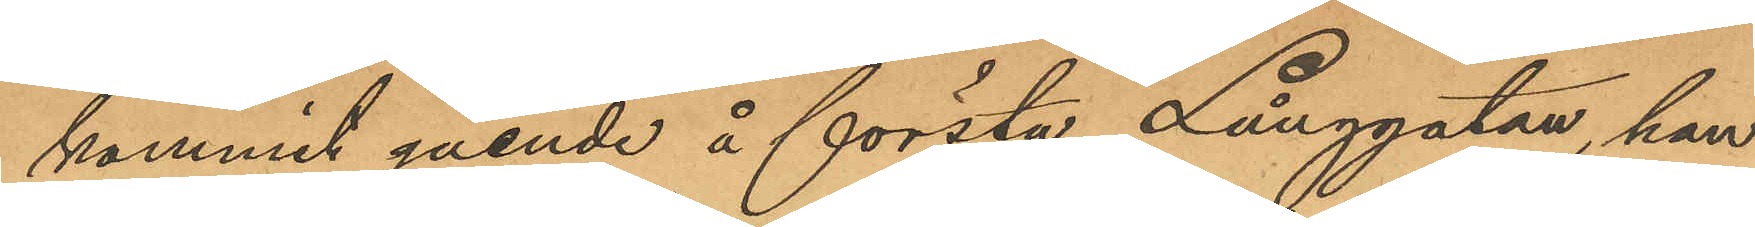kommit gående å första Långgatan, han
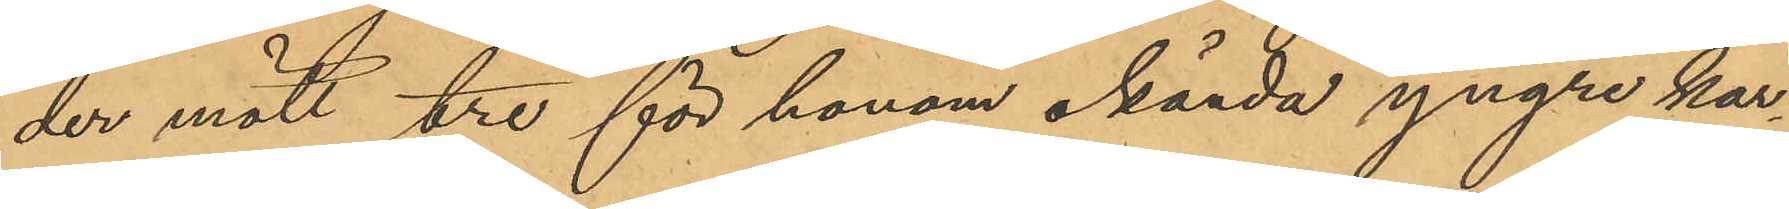der mött tre för honom okända yngre kar¬
